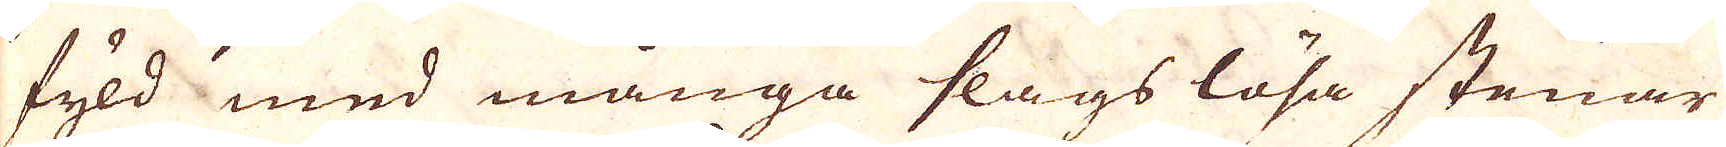fyld med många slags lösa stenar
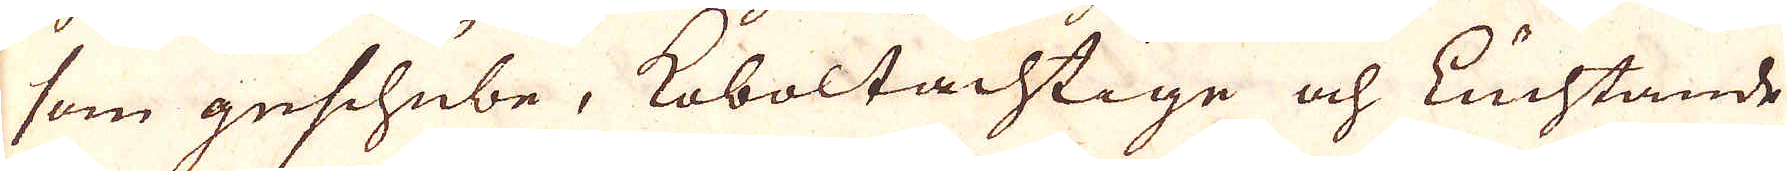som geschube, Koboltachtige och Luchtande
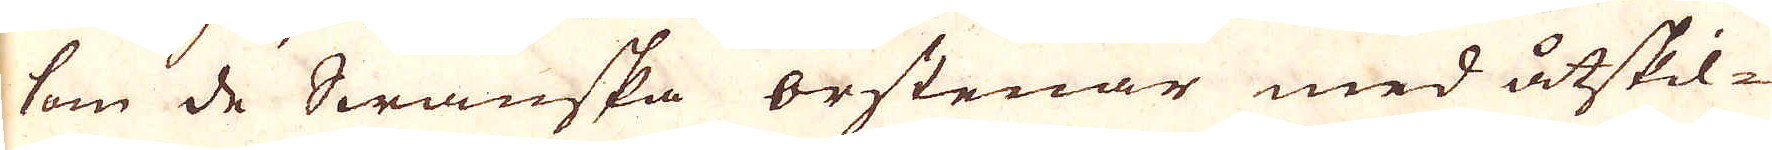som de Swanska orstenar med åtskil-
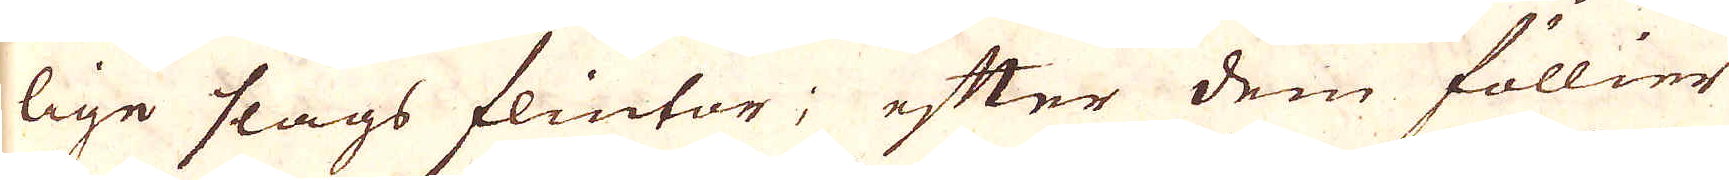lige slags flintar; efter dem föllier
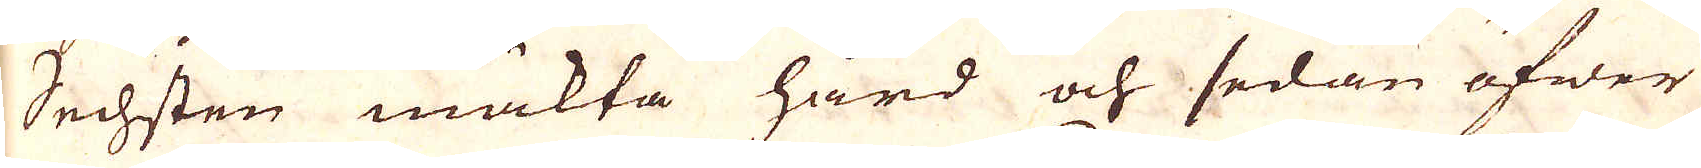Sechsten mäkta hård och sedan öfwer
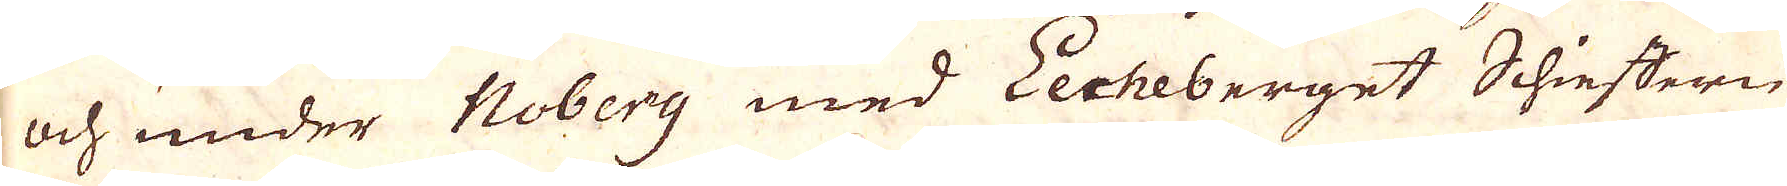och under Noberg med Eecheberget Schieffern
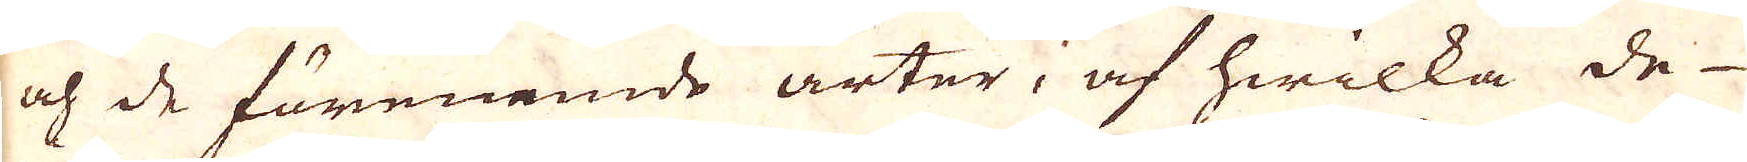och de förenemde arter, af hwilka de
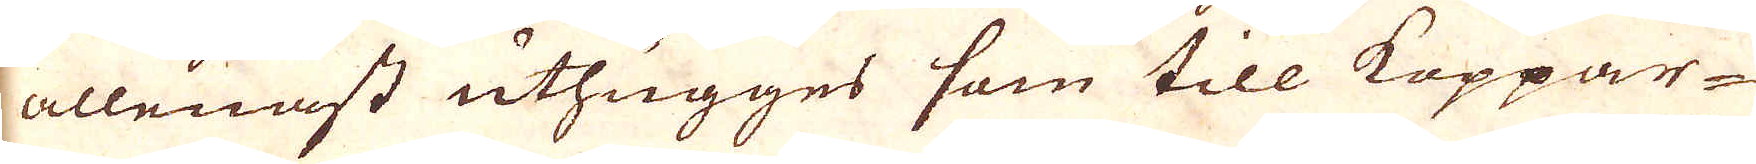allenast uthugges som till Koppar-
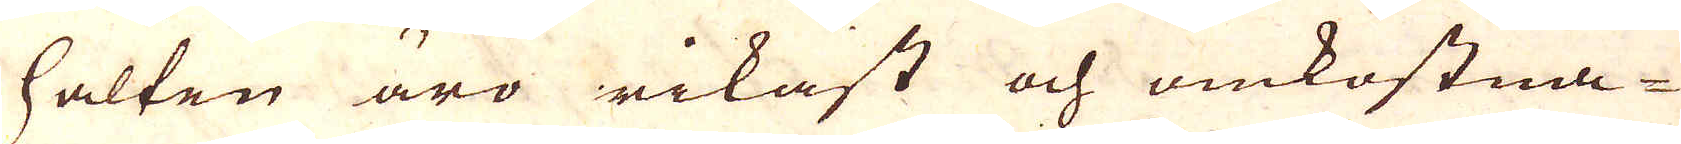halten äro rikast och omkostna-
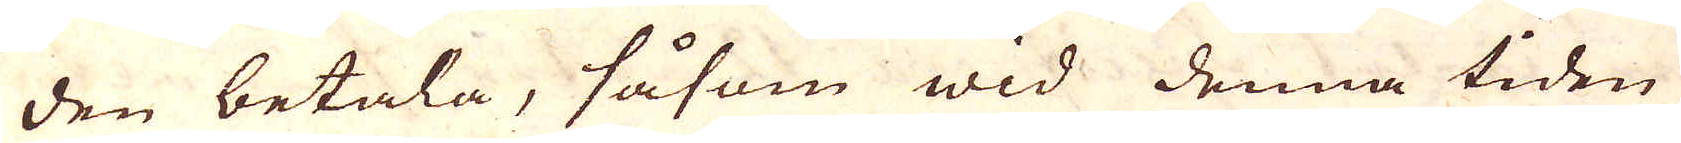den betala, såsom wid denna tiden
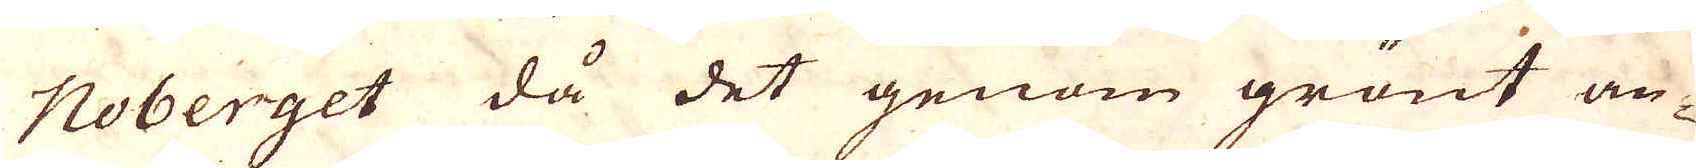Noberget då det genom grönt an-
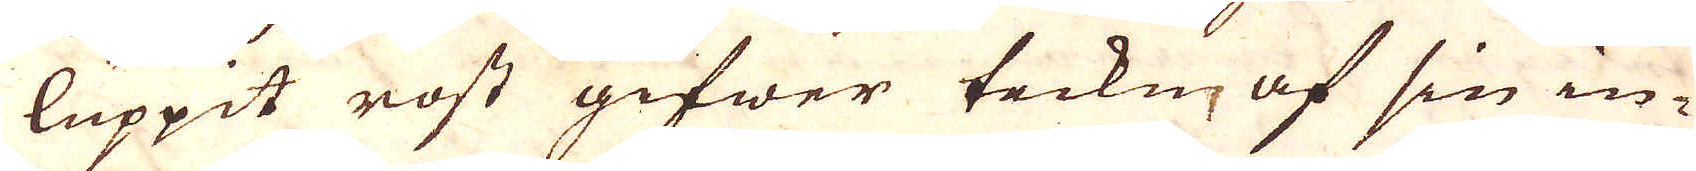luppit rost gifwer tecken af sin in-
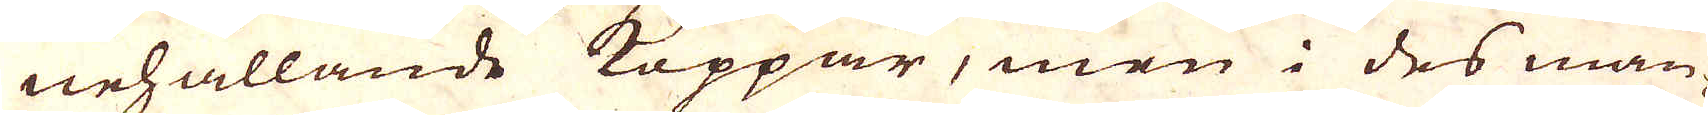nehållande Koppar, men i des man-
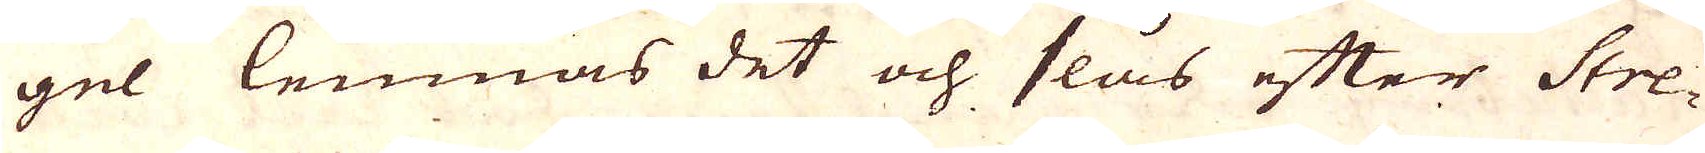gel lemnas det och slås efter Stre-
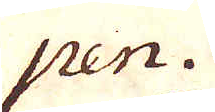pen.
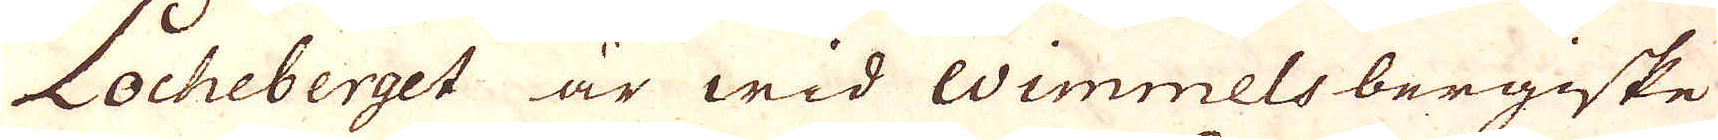Locheberget är wid Wimmelsbergiske
